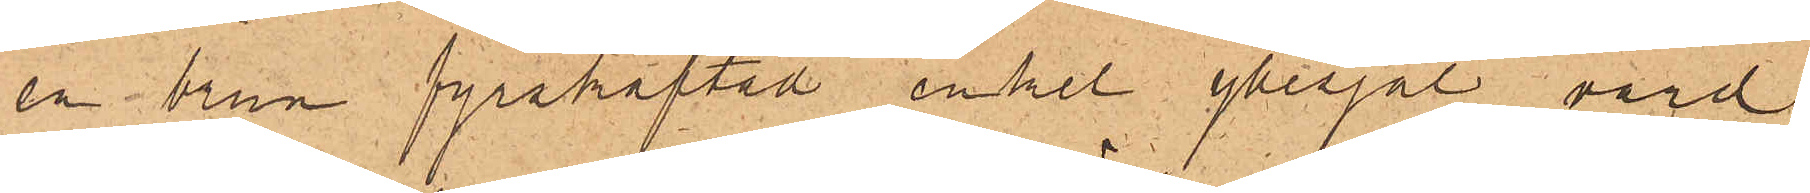en brun fyrskaftad enkel yllesjal, värd
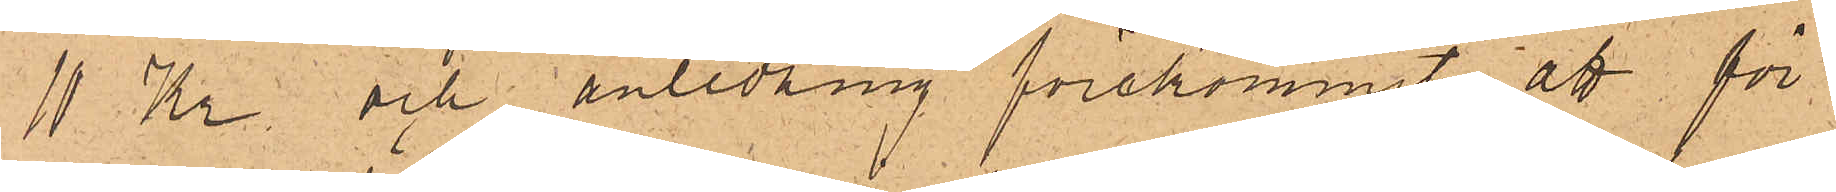11 Kr. och anledning förekommit, att för¬
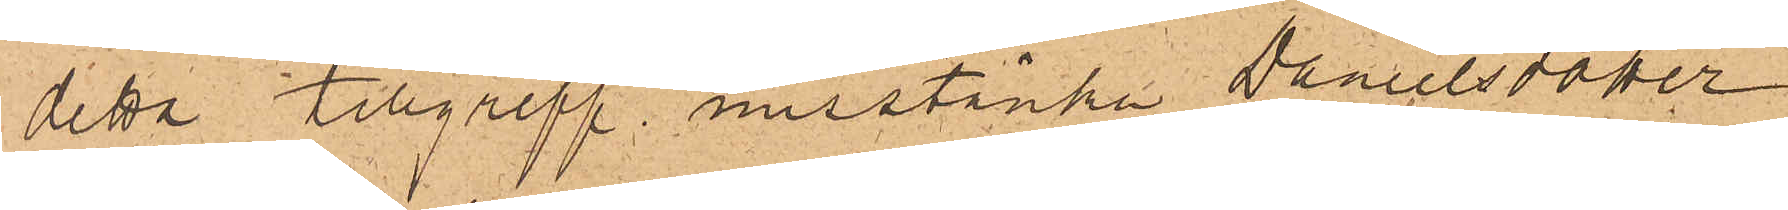detta tillgrepp misstänka Danielsdotter
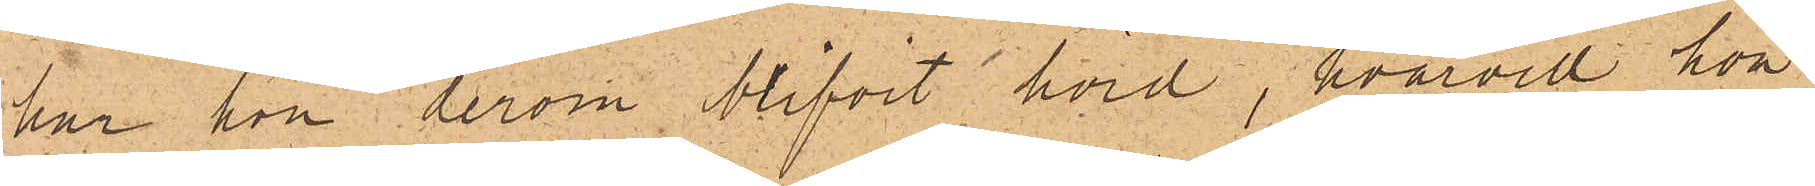har hon derom blifvit hörd, hvarvid hon
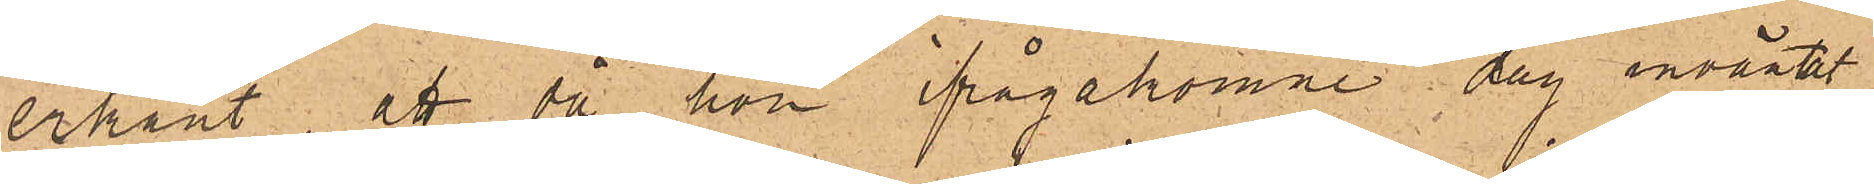erkänt, att då hon ifrågakomne dag inväntat
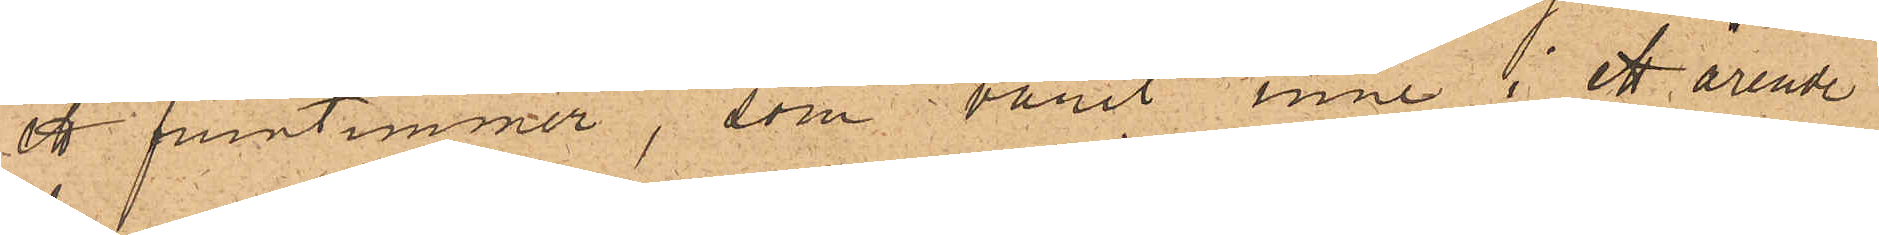ett fruntimmer, som varit inne i ett ärende
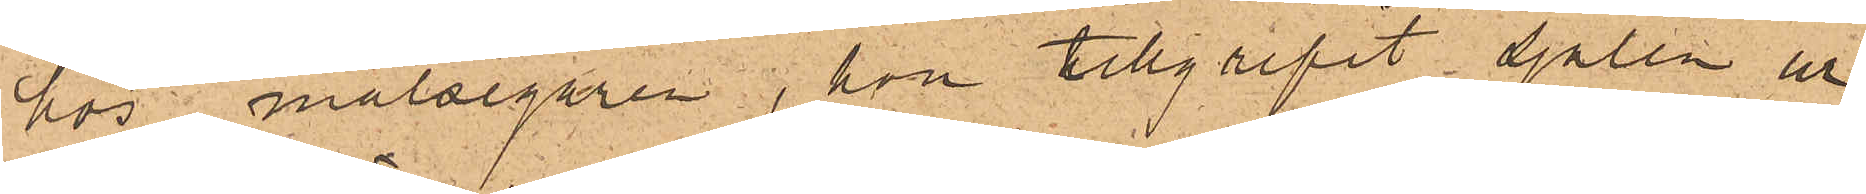hos målsegaren, hon tillgripit sjalen ur
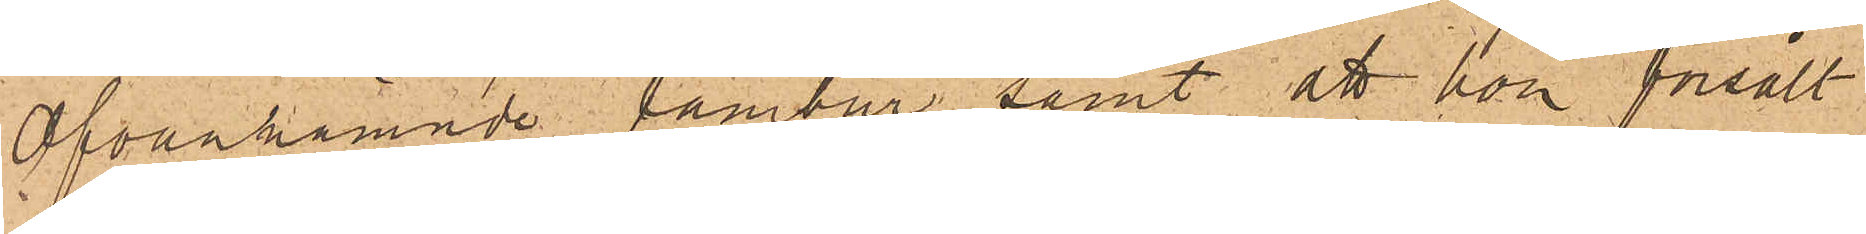Ofvannämnde tambur samt att hon försålt
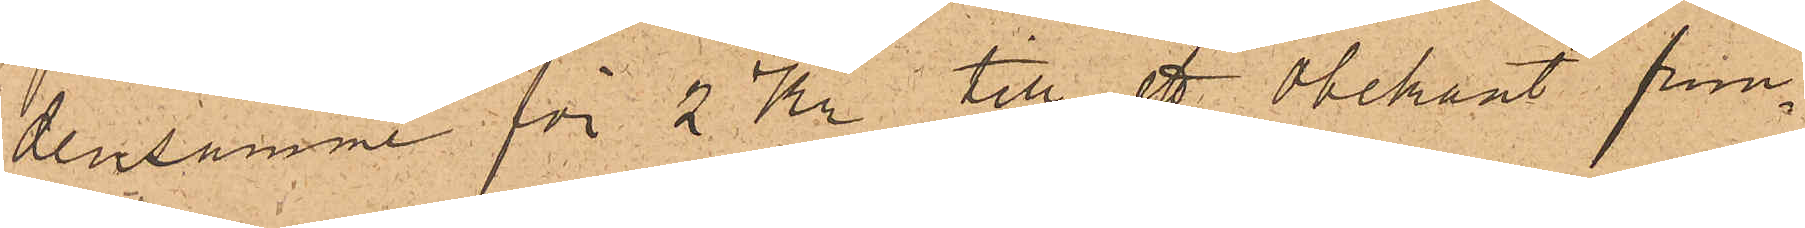densamme för 2 Kr till ett obekant frun¬
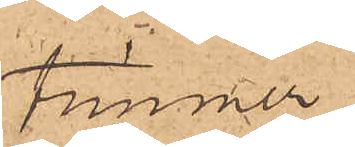timmer.
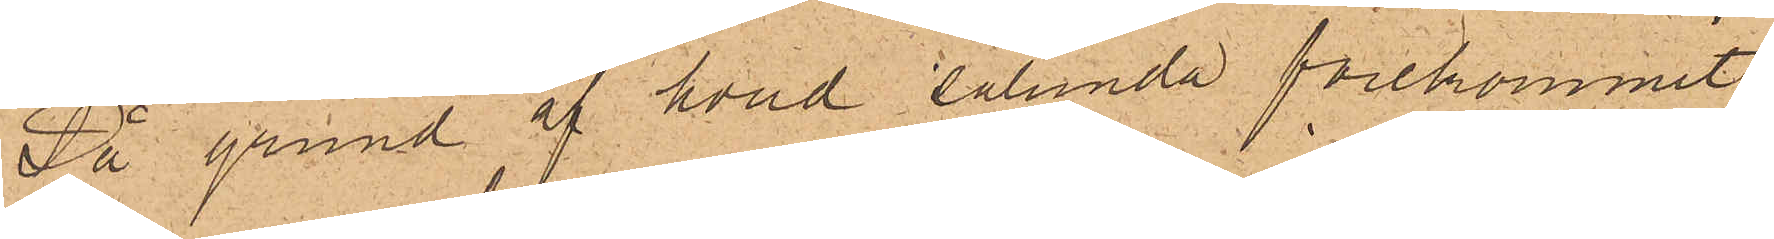På grund af hvad sålunda förekommit
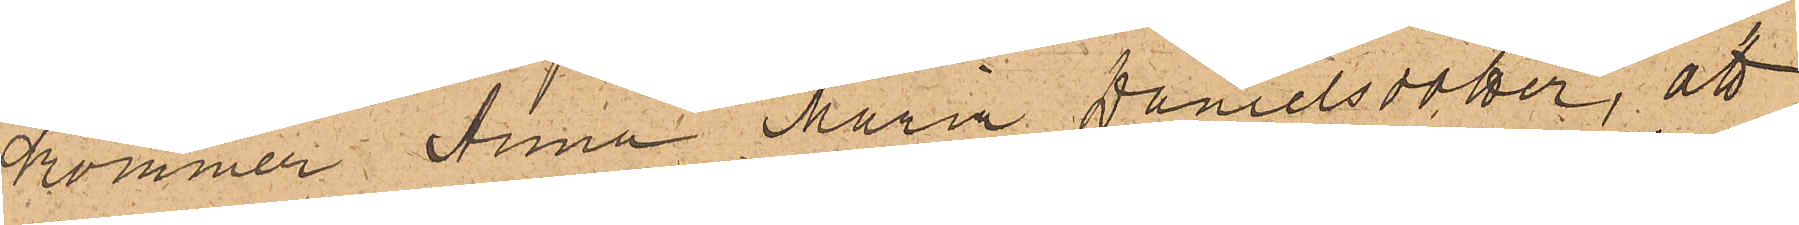kommer Anna Maria Danielsdotter, att
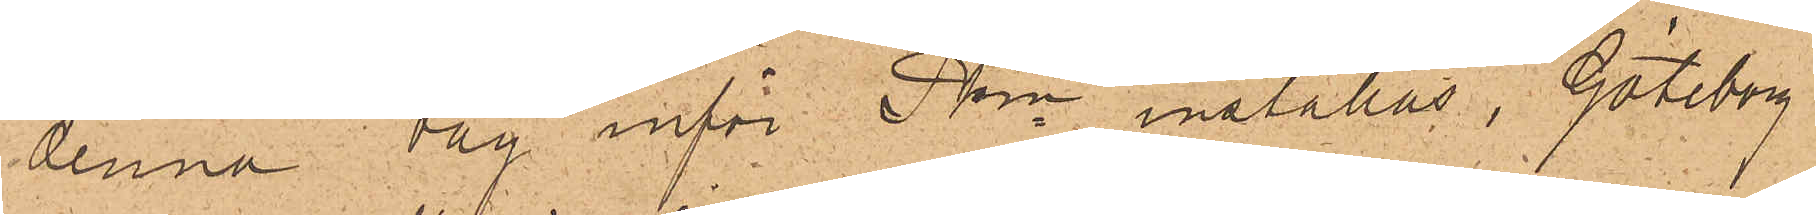denna dag inför Pkn inställas. Göteborg
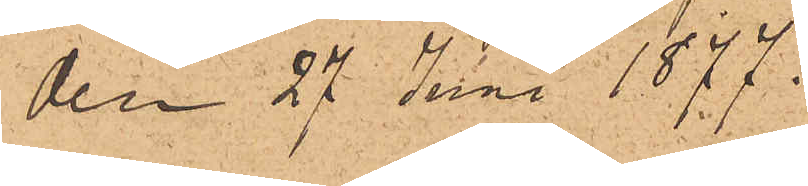den 27 Juni 1877.
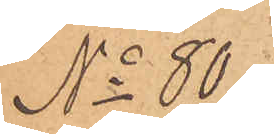No 80
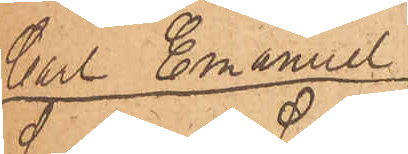Carl Emanuel
